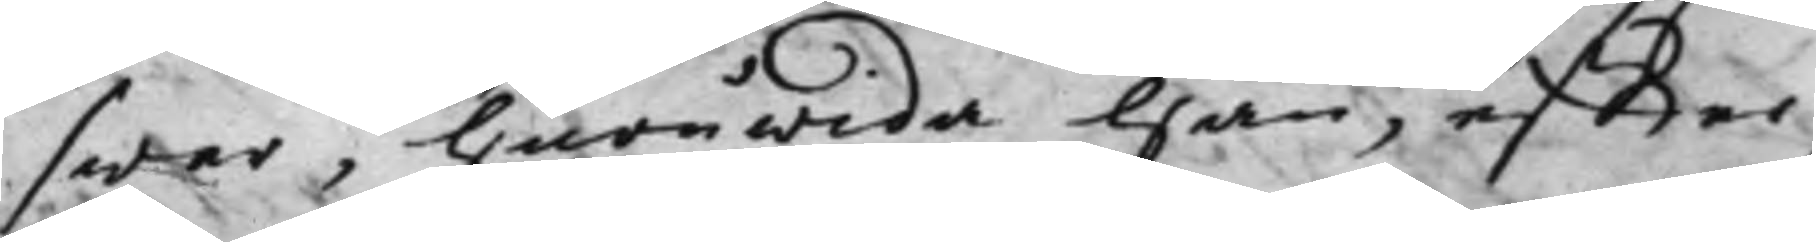swar, huruwida han, effter
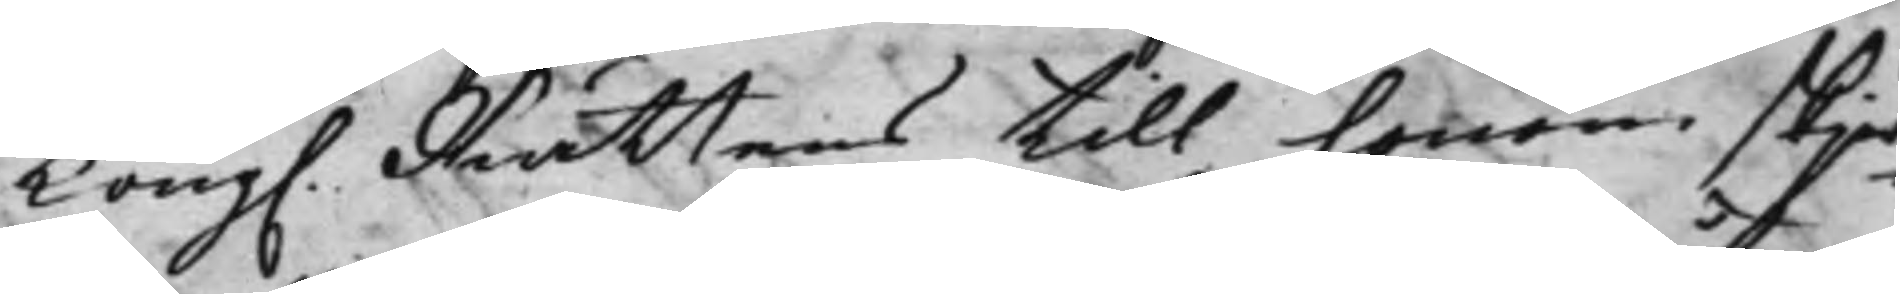Kong. Rättens till honom skjed¬ 
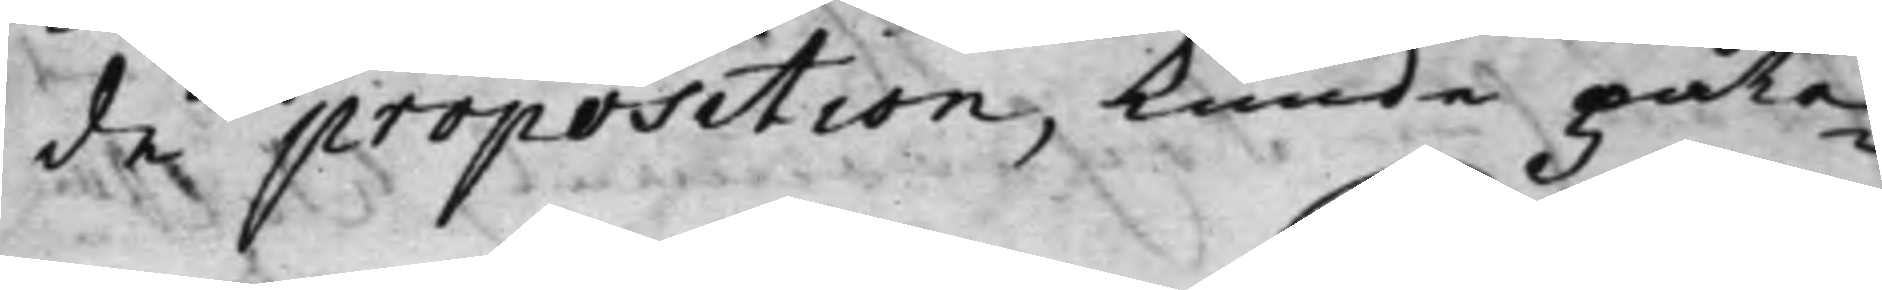de proposition kunde påta¬
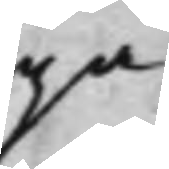ga
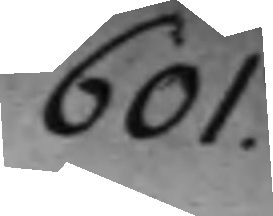601.
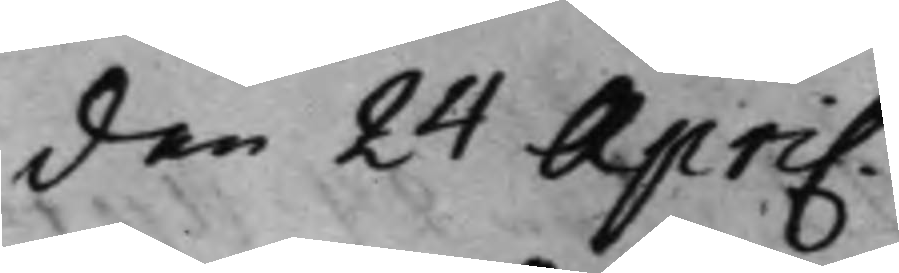den 24 April.
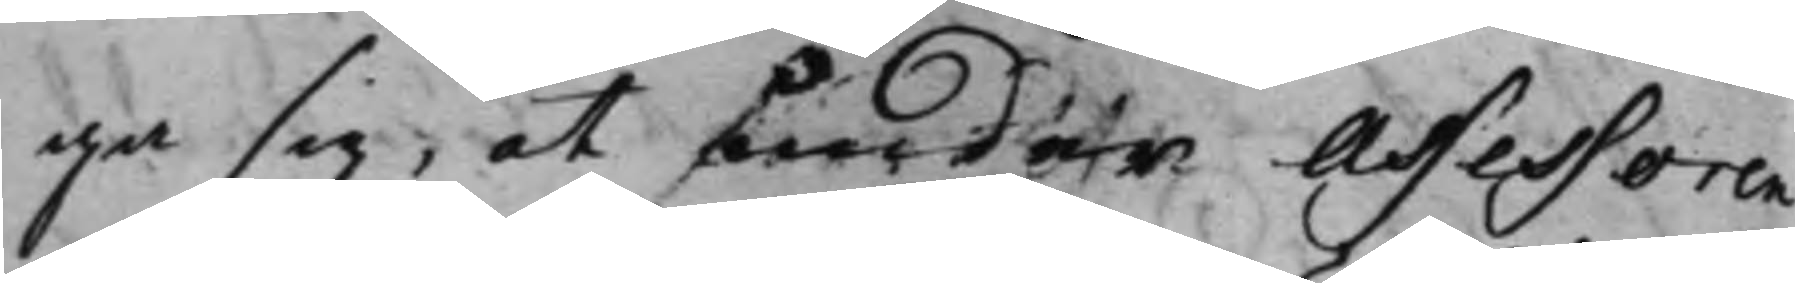ga sig, at under Assessoren
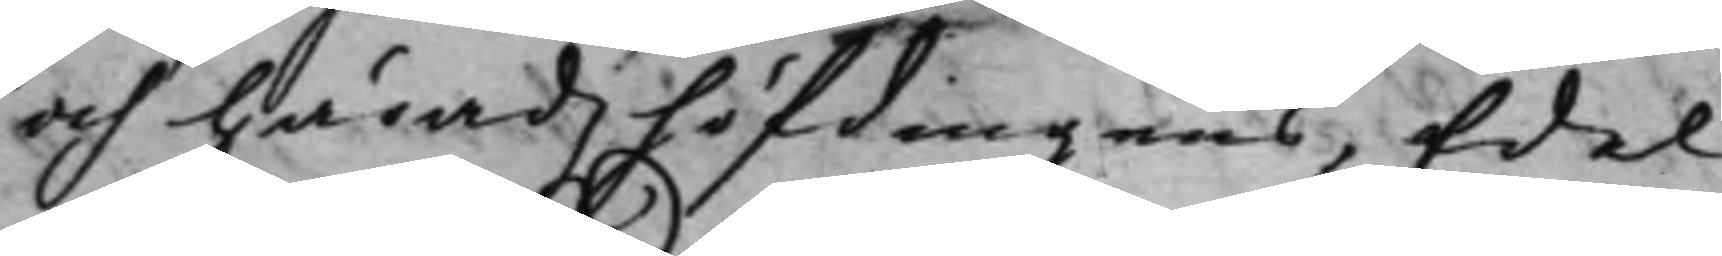och Häradzhöfdingens, Edel
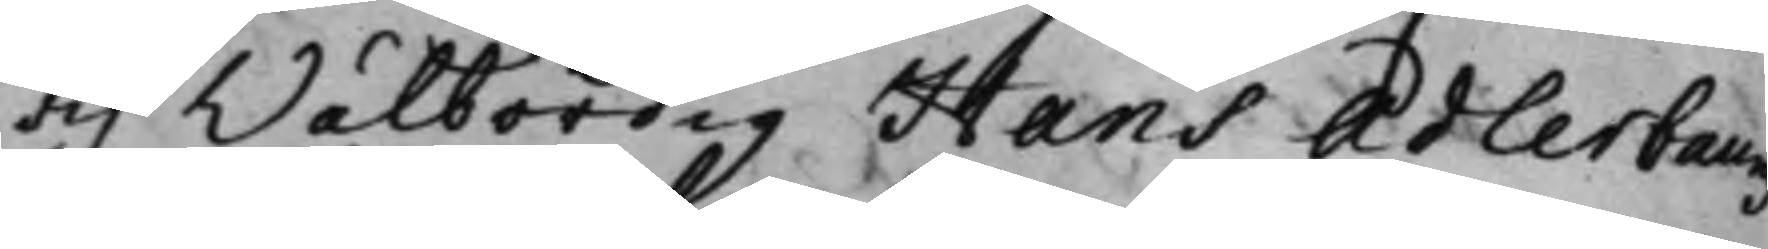och Wälbördig Hans Adlerbaumz
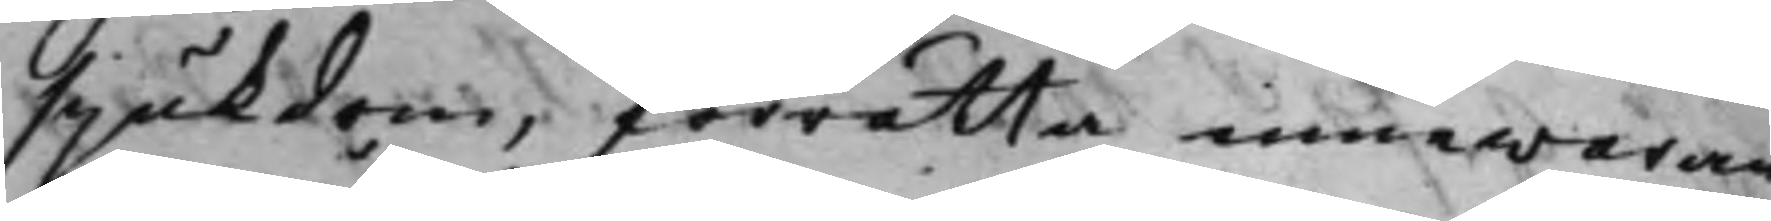sjukdom, förrätta innewaran¬
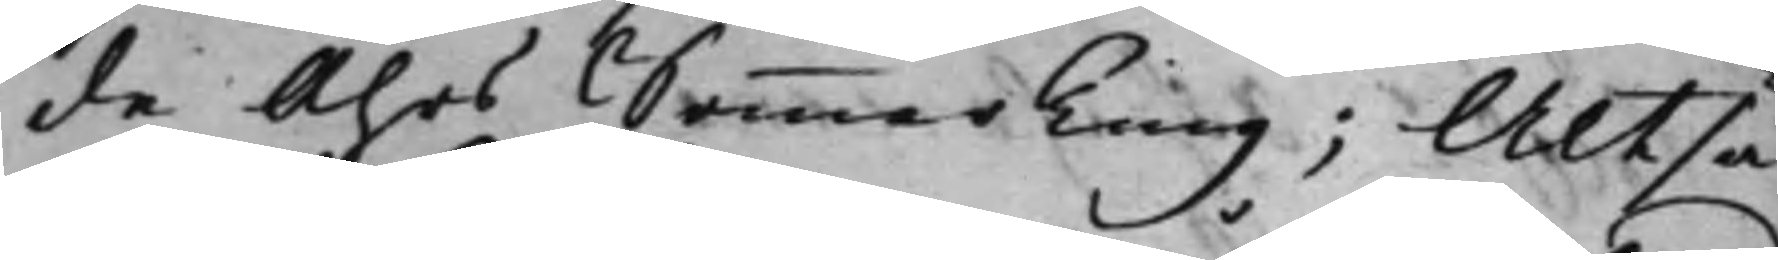de Åhrs SommarTing; Altså
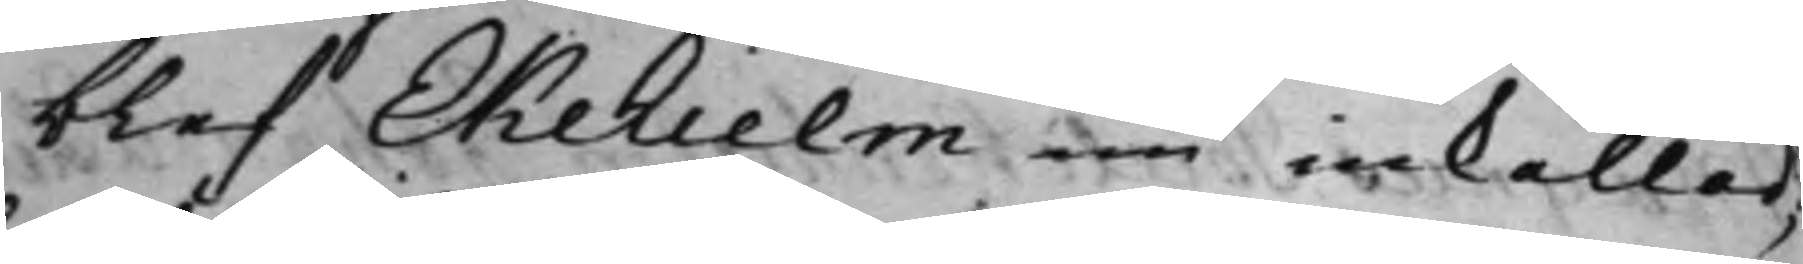blef Ekehielm nu inkallad,
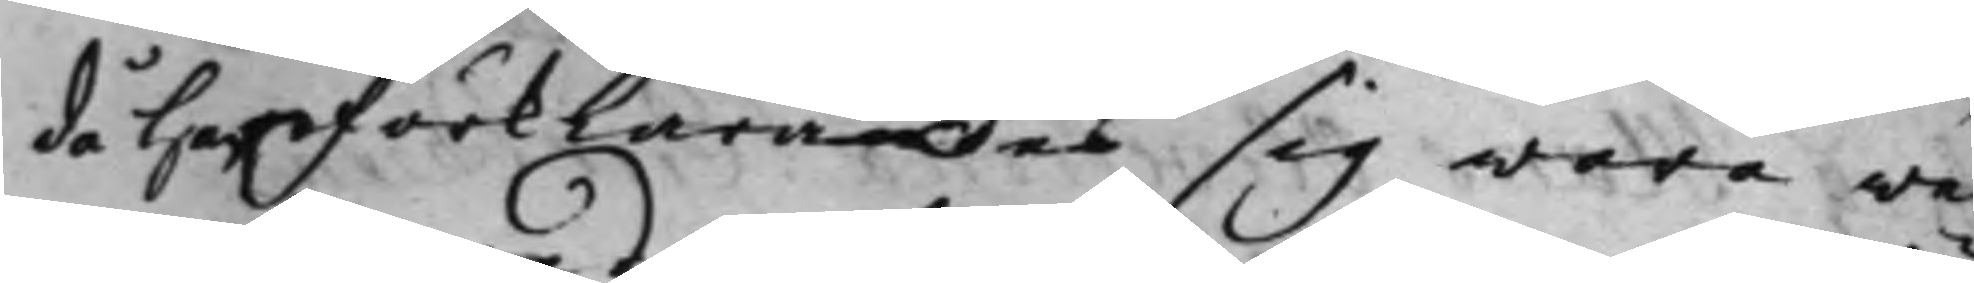då han förklarade sig wara we¬
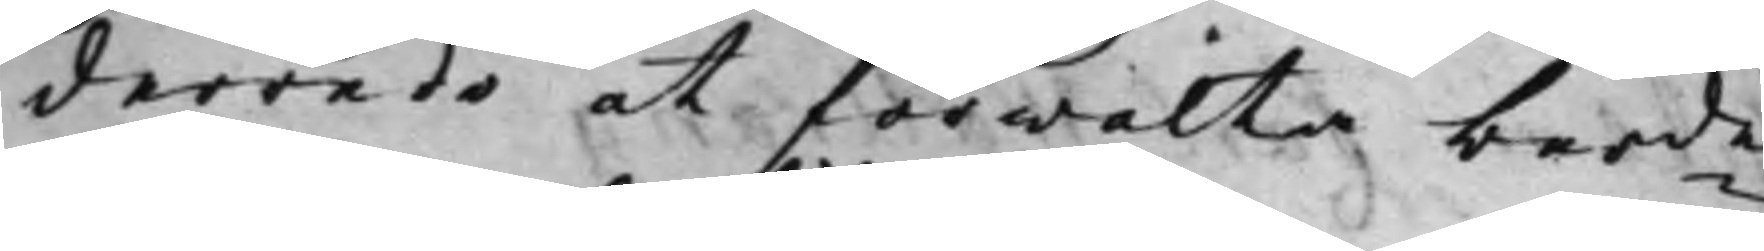derredo at förwalta berde
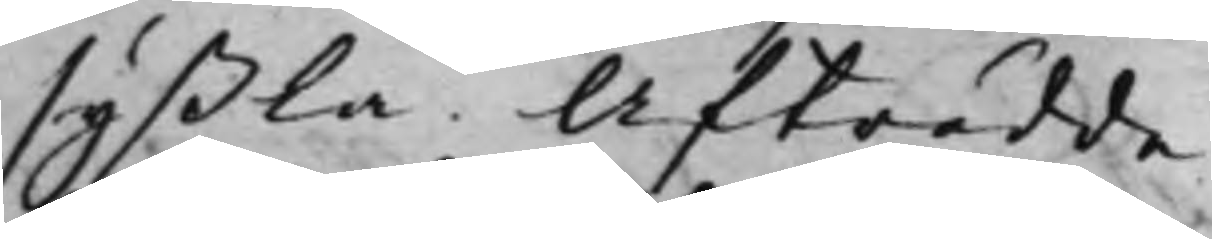syßla. Afträdde.
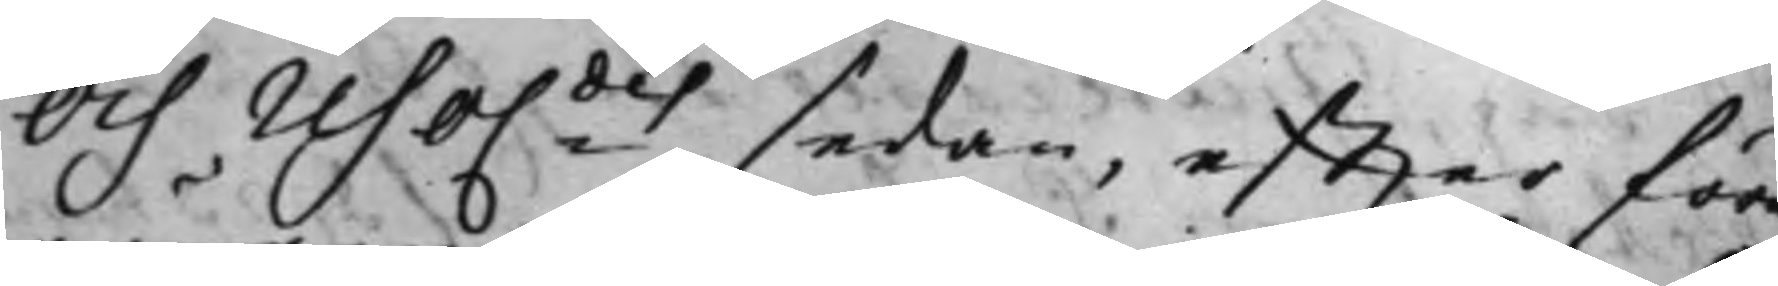Och reso.des sedan, effter före¬
